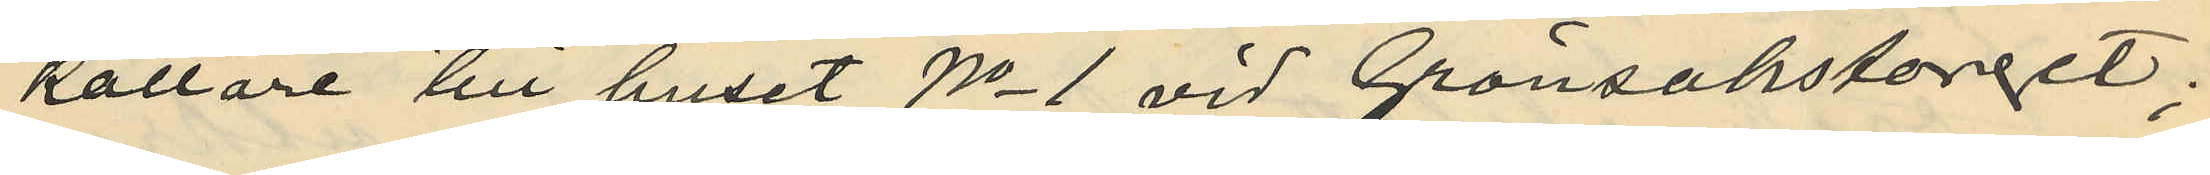källare till huset No 1 vid Grönsakstorget;
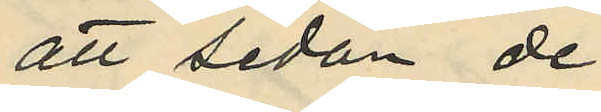att sedan de
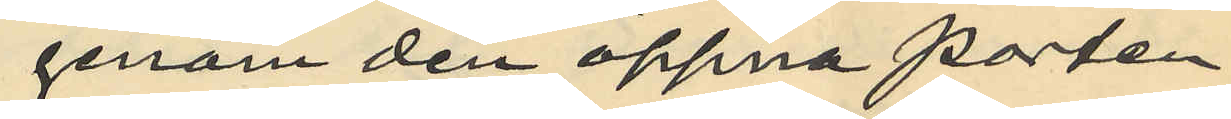genom den öppna porten
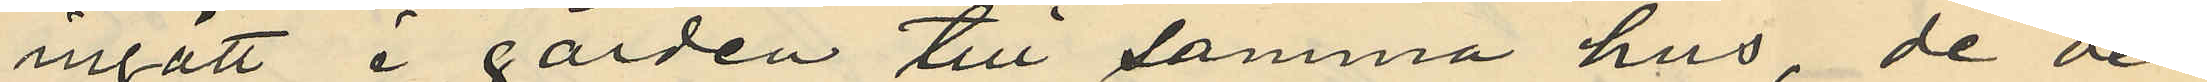ingått å gården till samma hus, de der
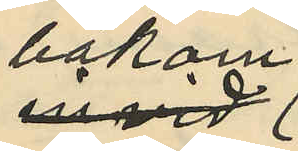bakom
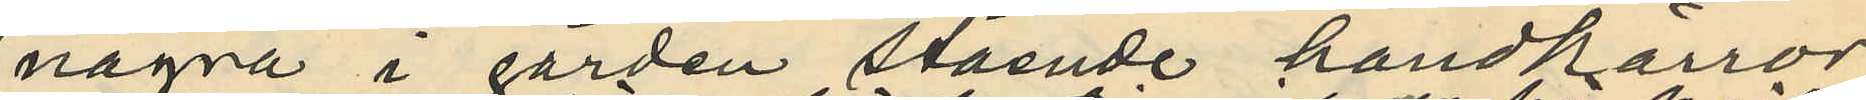några i gården stående handkärror
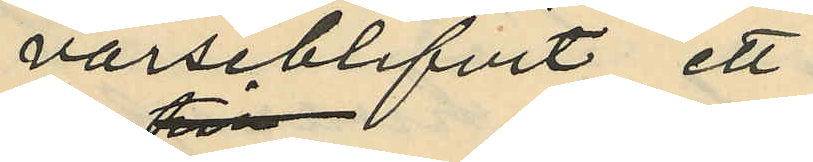varseblifvit ett
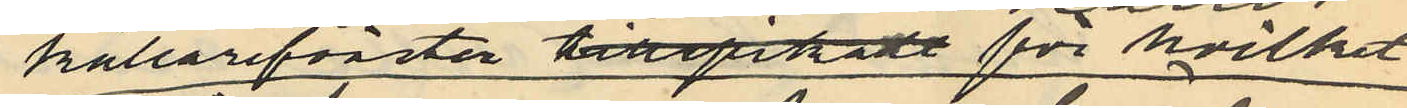källarefönster tillspikade för hvilket
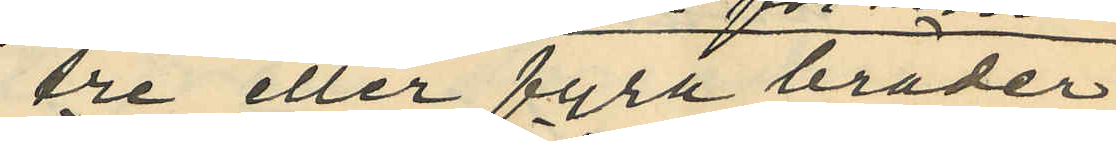tre eller fyra bräder
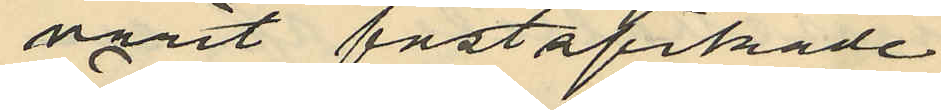varit fastspikade
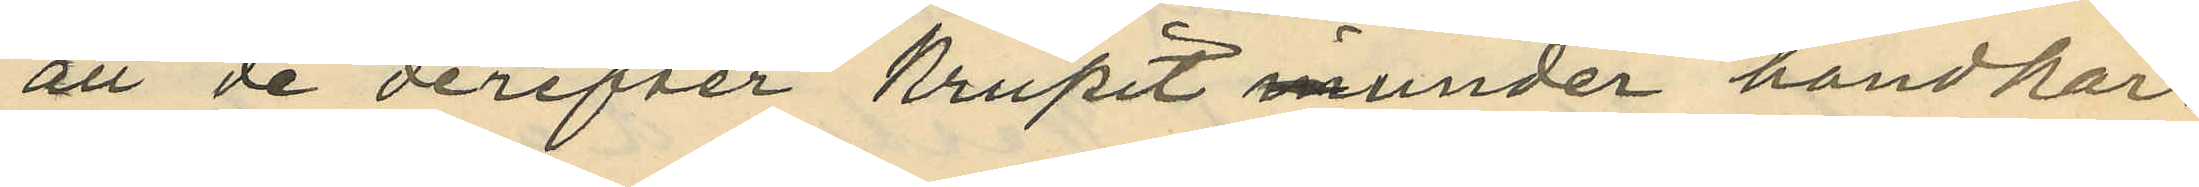att de derefter krupit munder handkär¬
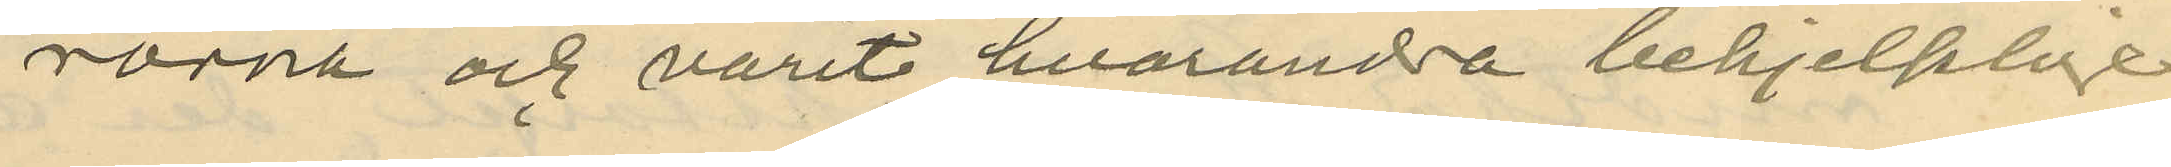rorna och varit hvarandra behjelplige
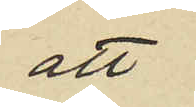att
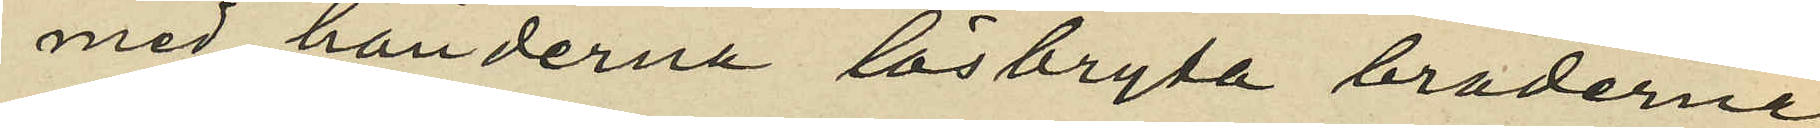med händerna lösbryta bräderne
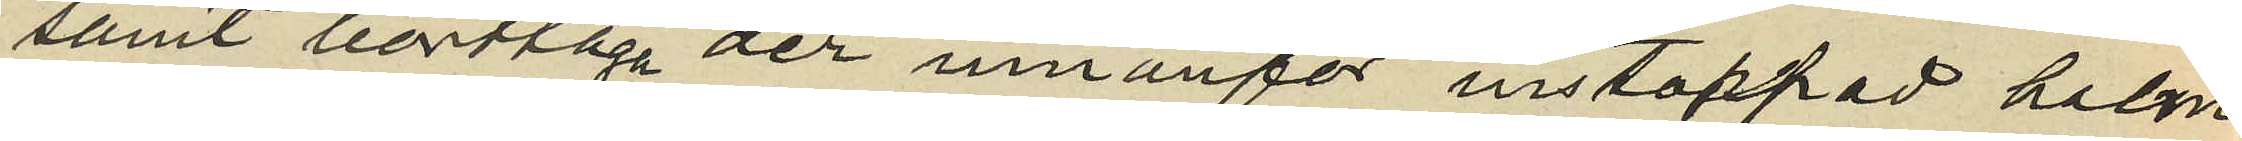samt borttaga der innanför instoppad halm
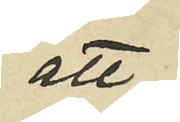att
